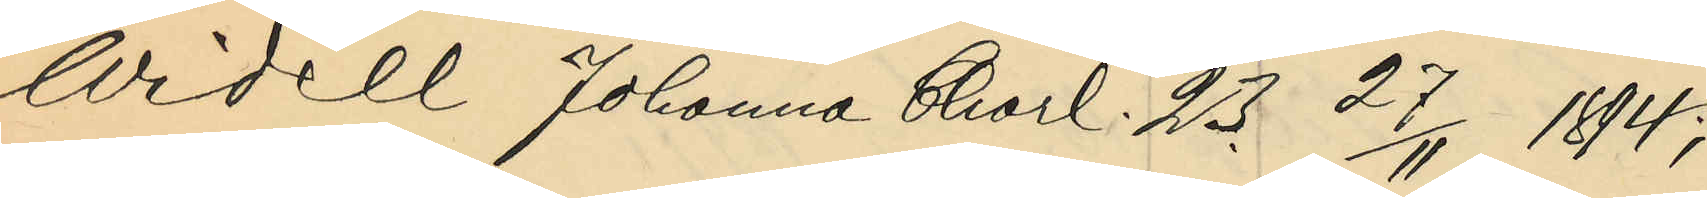Widell Johanna Charl. 23. 27/11 1894;
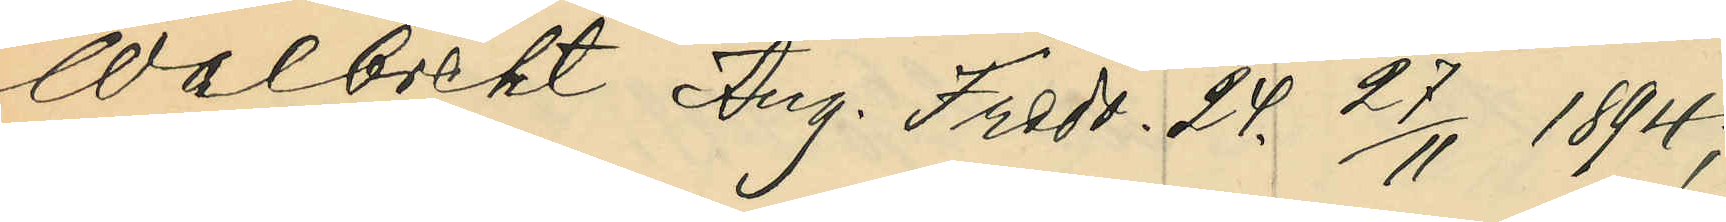Walbrekt Aug. Fredr. 24. 27/11 1894;
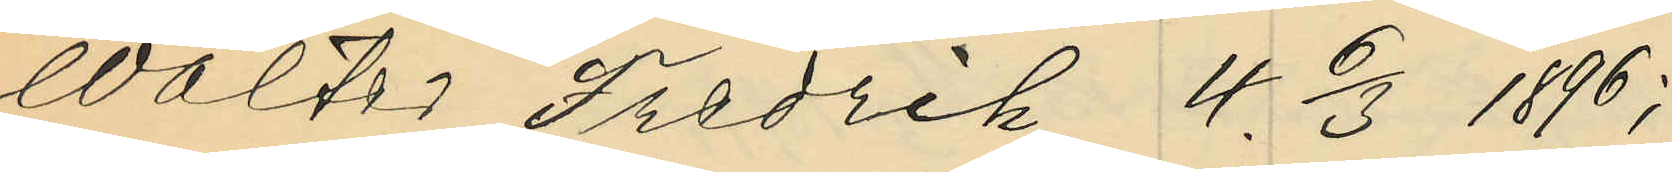Walter Fredrik 4. 6/3 1896;
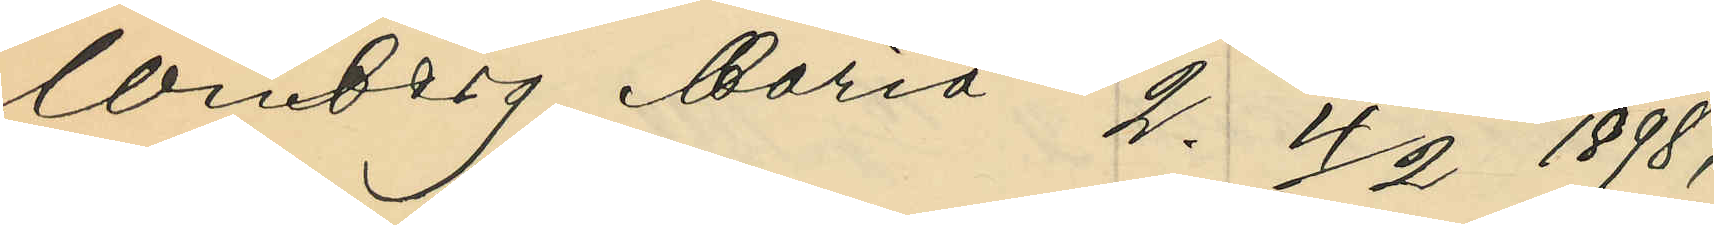Winberg Maria 2. 4/2 1898;
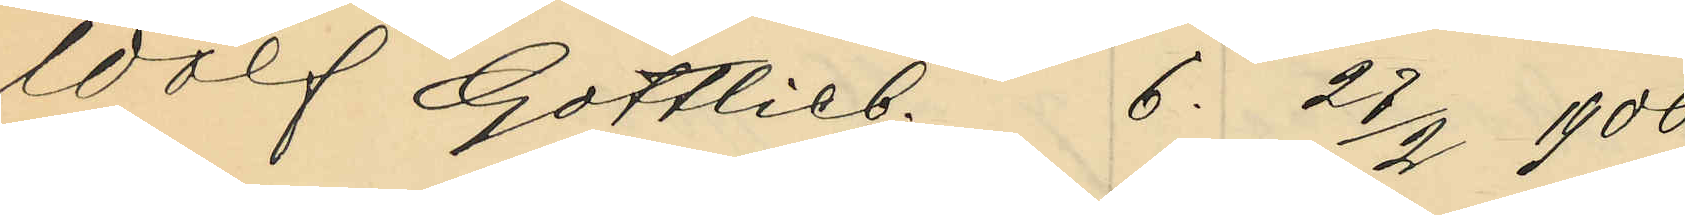Wolf Gottlieb. 6. 27/3 1900;
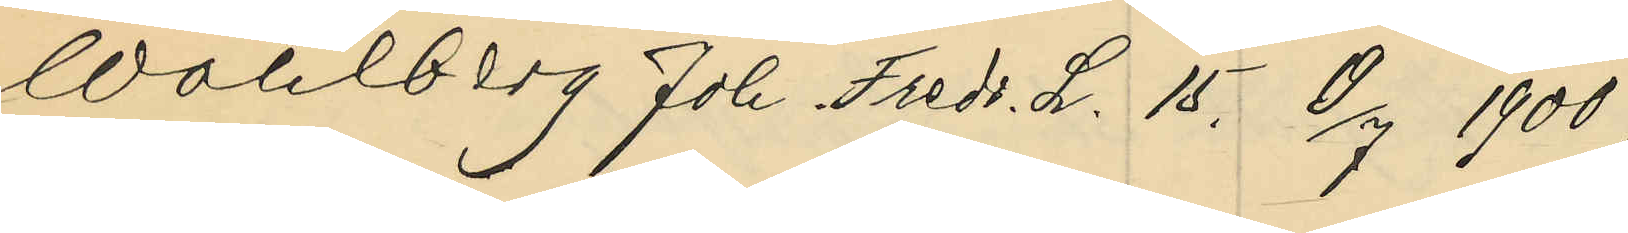Wahlberg Joh. Fredr. L. 15. 19/7 1900;
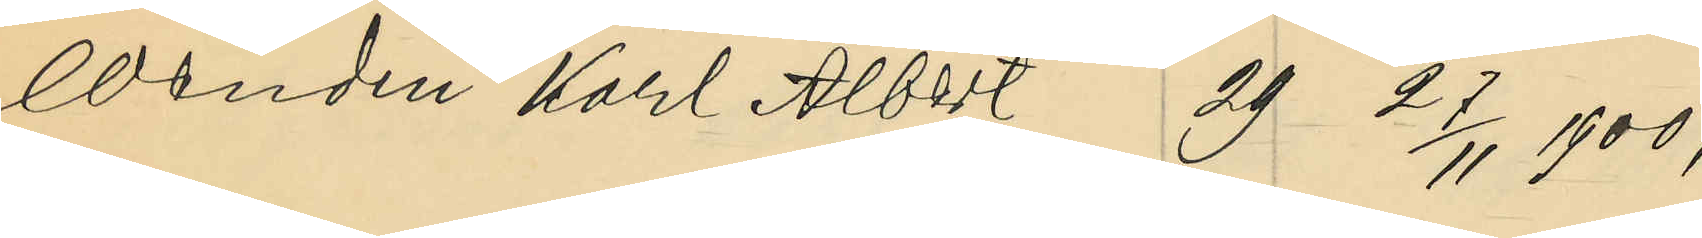Wendin Karl Albost 29 27/11 1900;
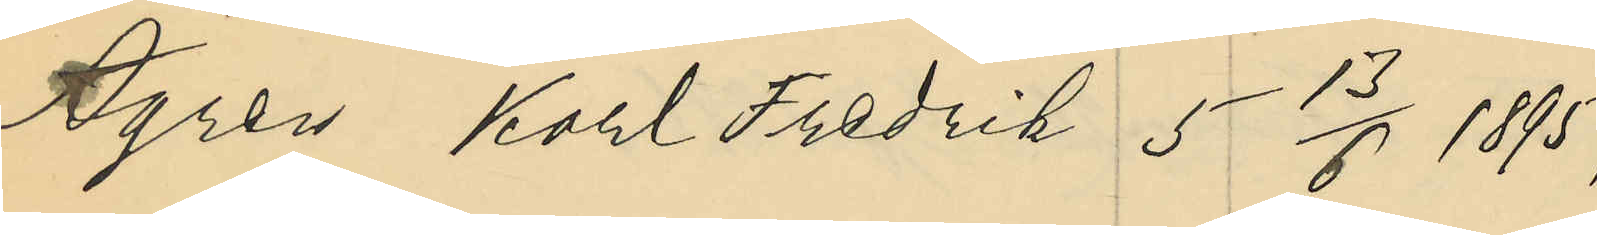Ågren, Karl Fredrik 5 13/5 1895;
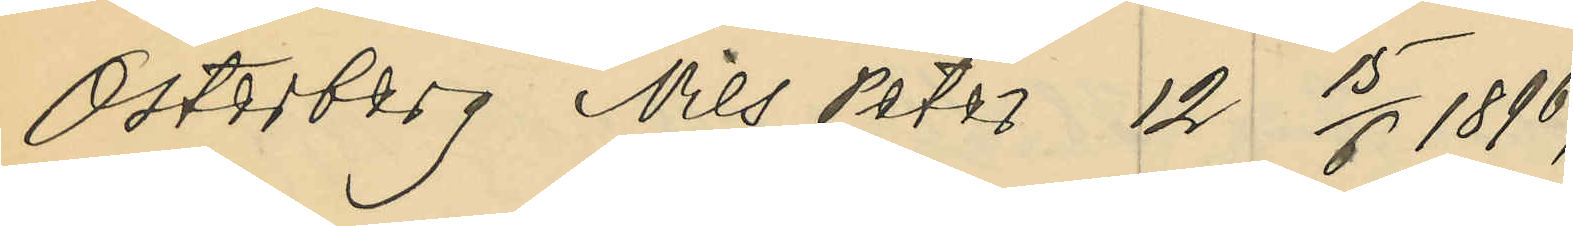Österberg Nils Peter 12 15/6 1896;
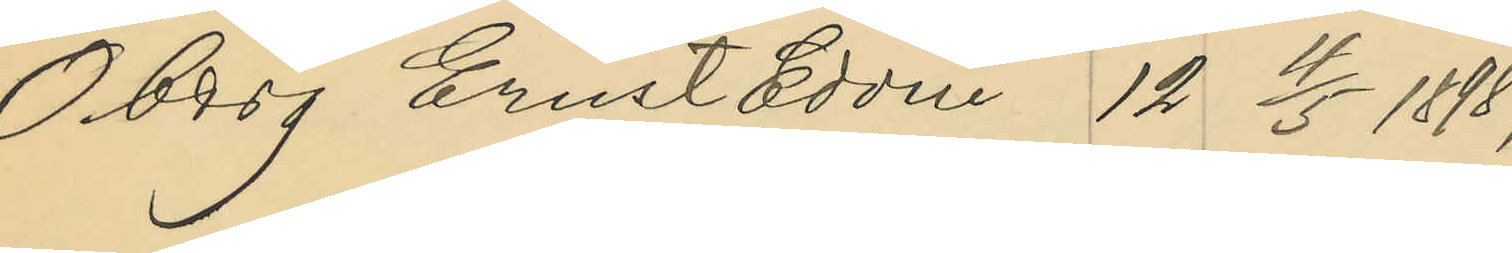Öberg Ernst Edvin 12 4/5 1898;
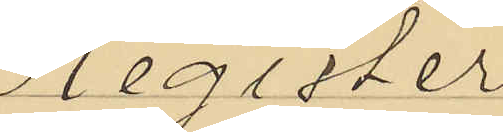Mgister
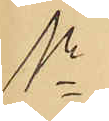1o
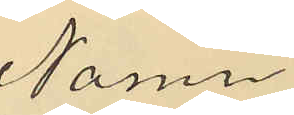Namn
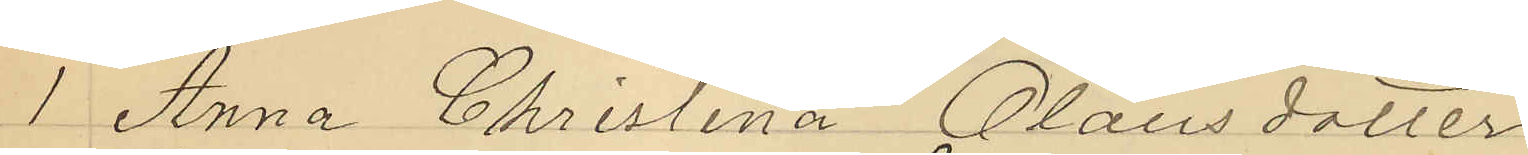1 Anna Christina Olausdotter
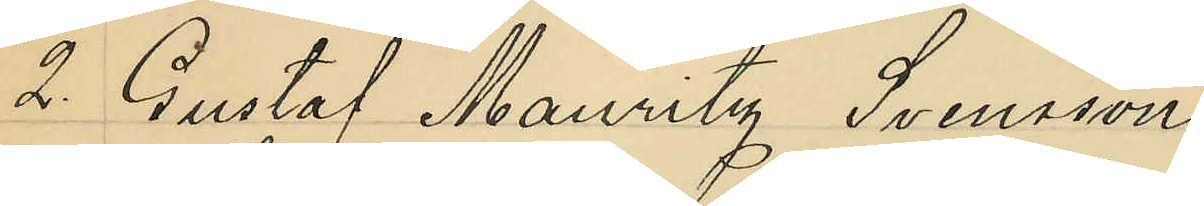2 Gustaf Mauritz Svensson
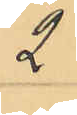9
